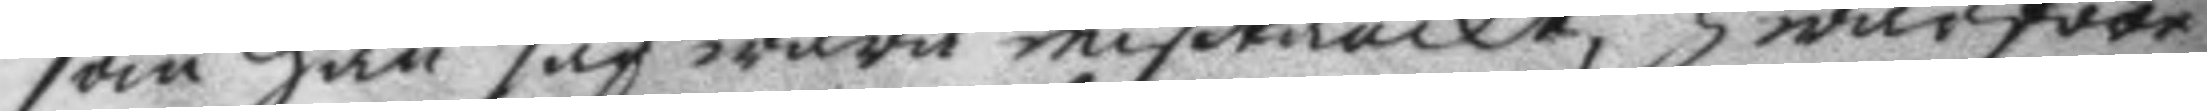som han såg wara mißtänckt; hwarföre
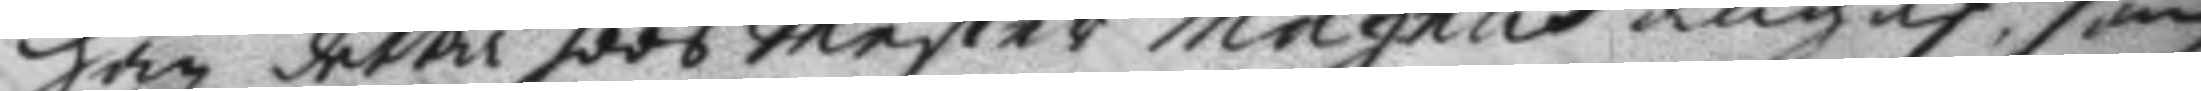han detta hoos Mester Magnus angaf, som
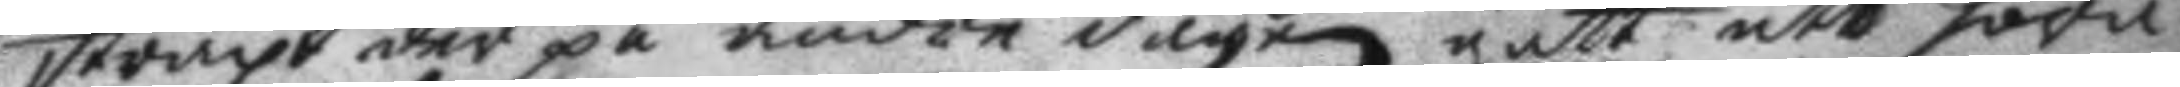straxt der på andre dagen gått att höra
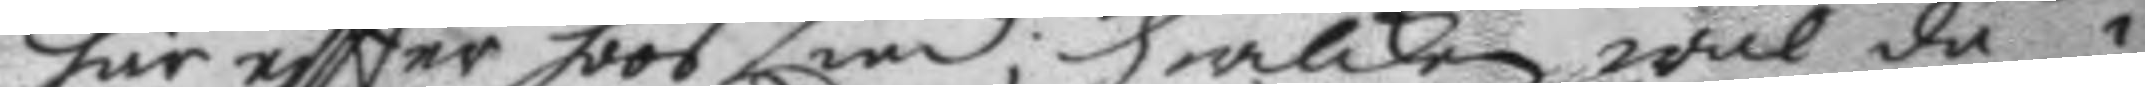här eftter hoos Lind; hwilken wäl då i
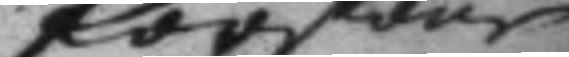förtsone
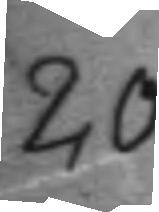20.
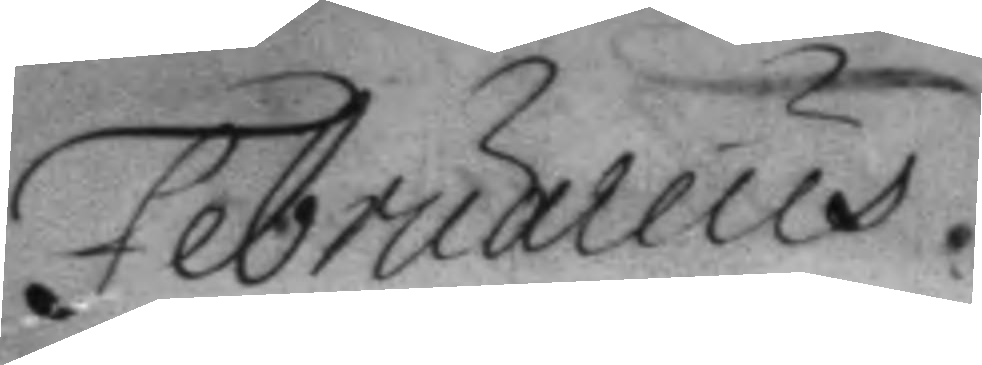Februarius.
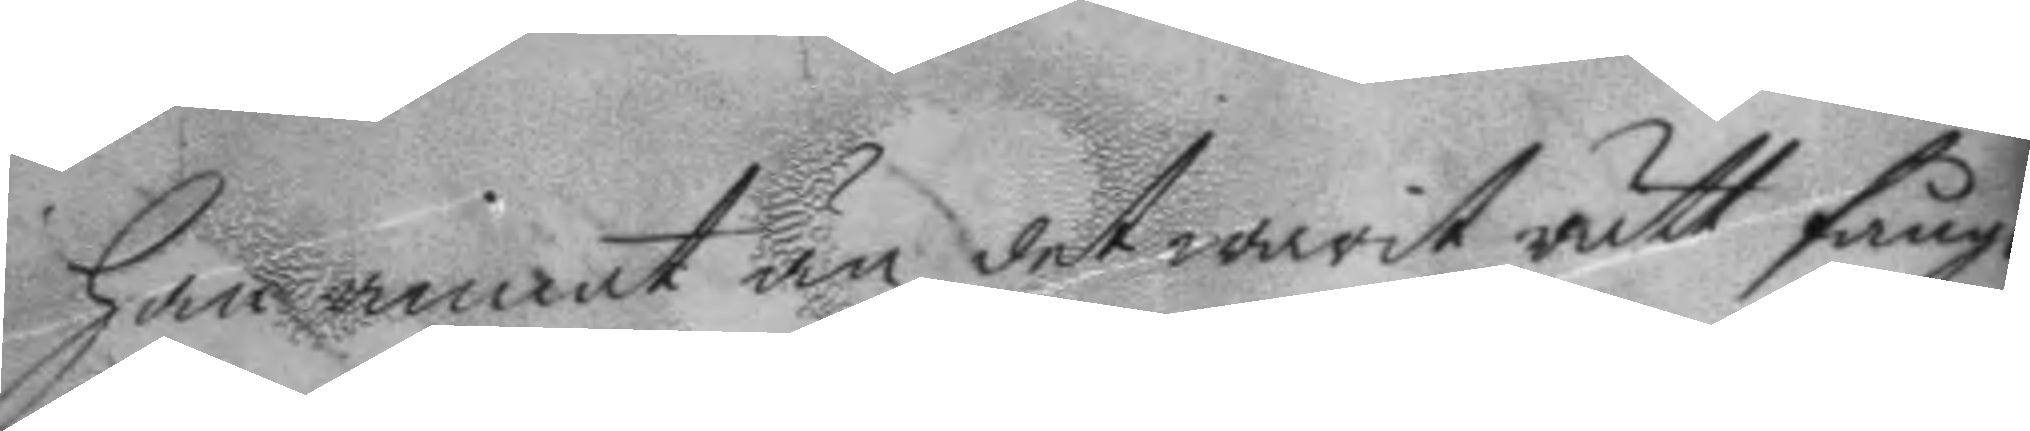han annat än det warit rätt fånge
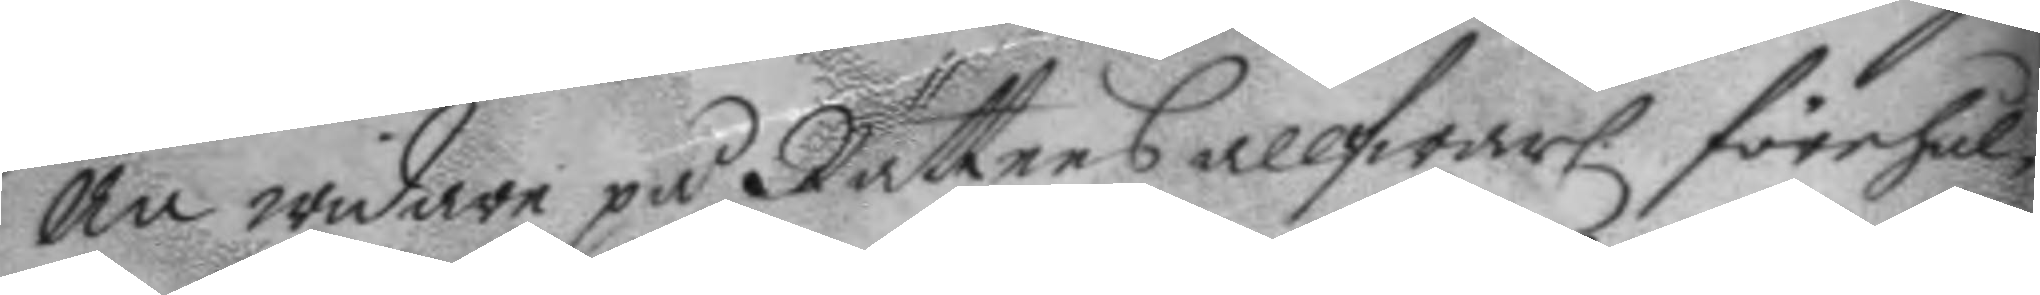än widare på Rättens allwarl. förehål¬
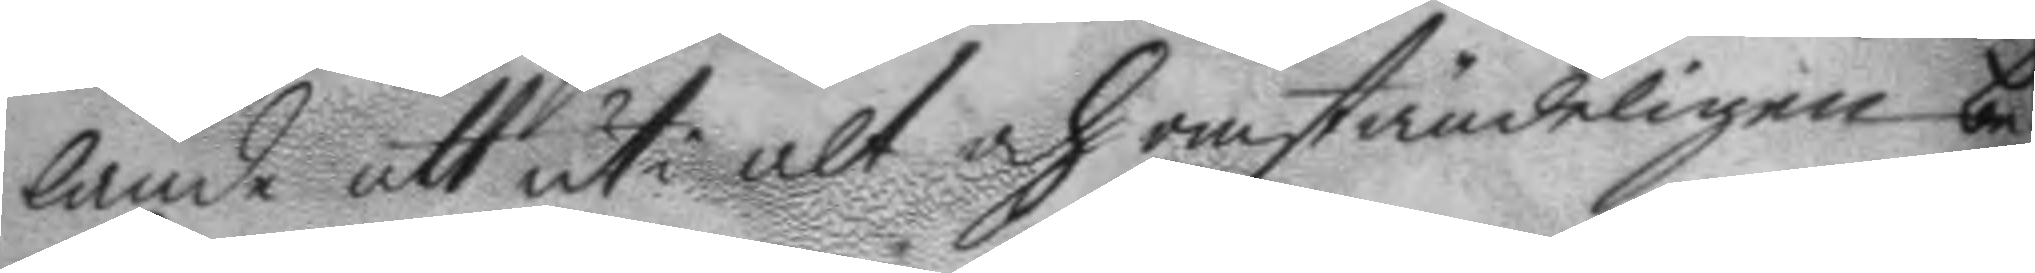lande att uti alt och omständeligen be¬
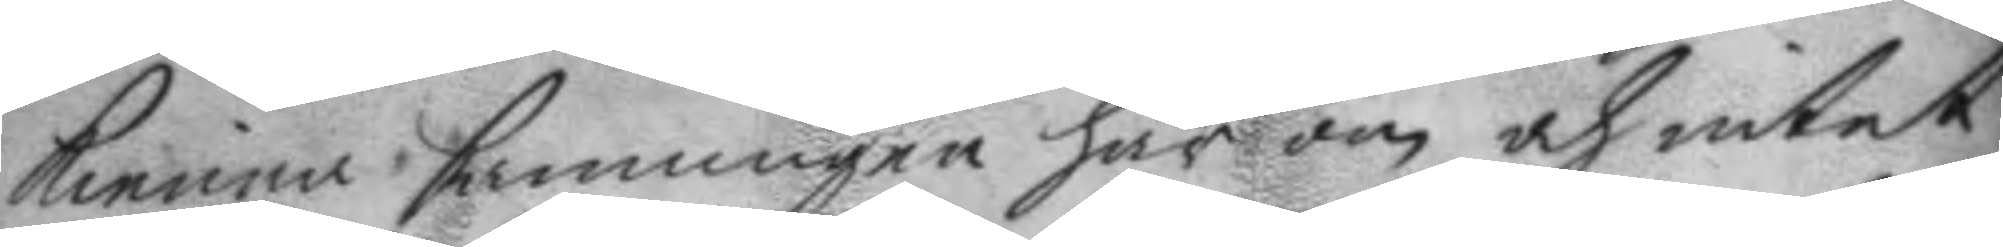kienna sanningen här om och intet
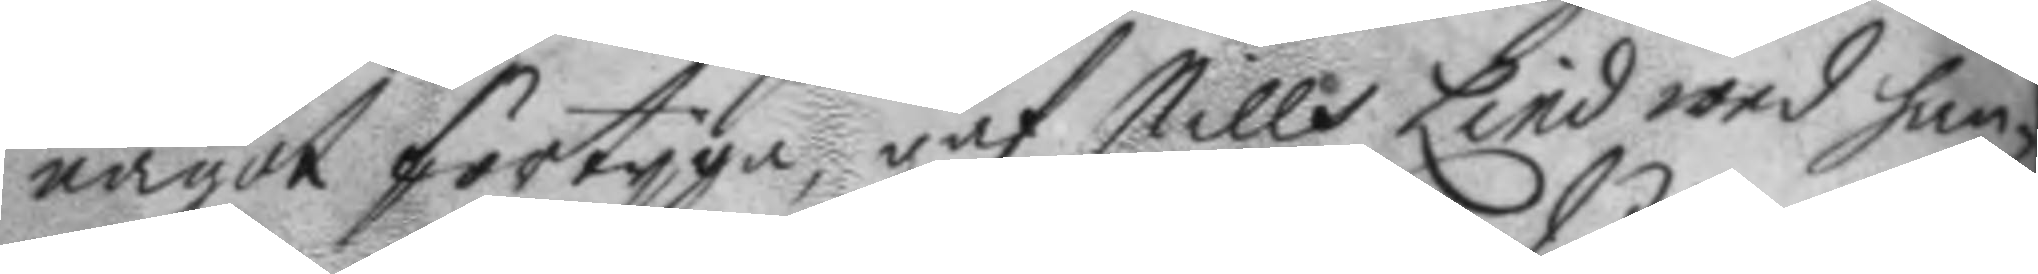något förtyga, gaf Nills Lind wed han¬
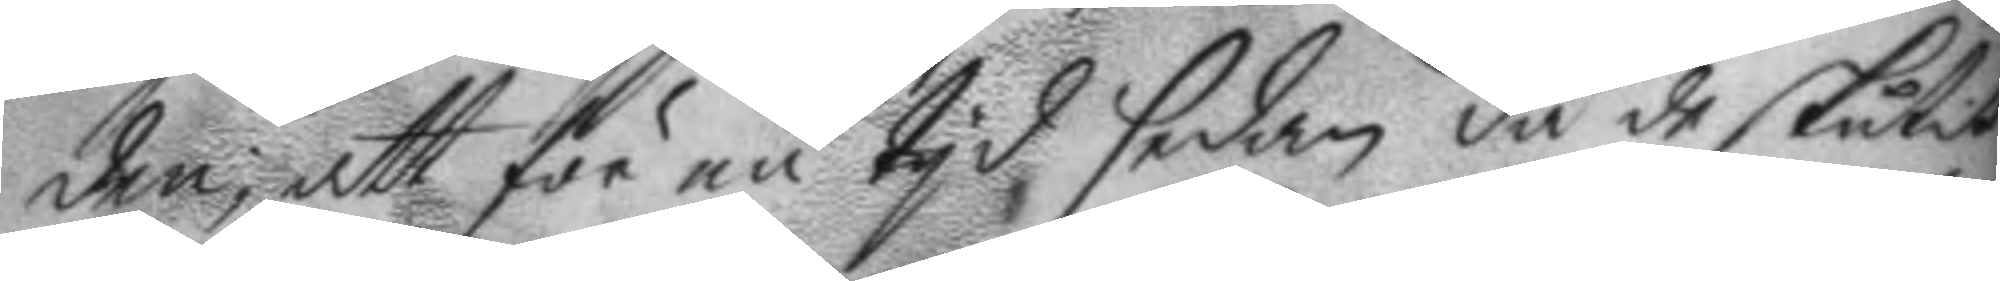den, att för en tyd sedan då de skutit
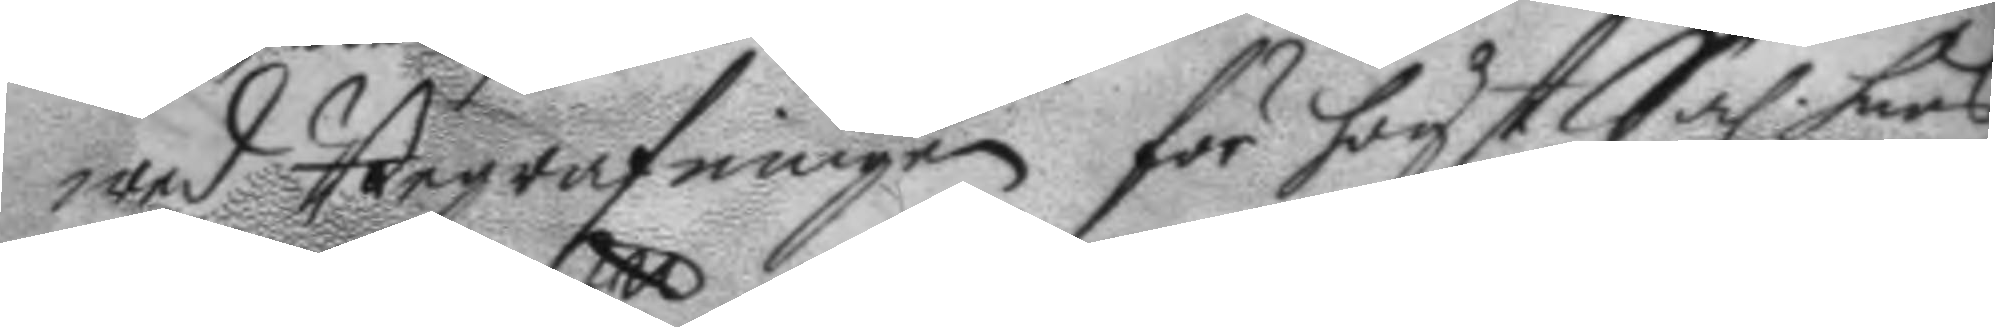wed Begrafningen för högst Sal. hans
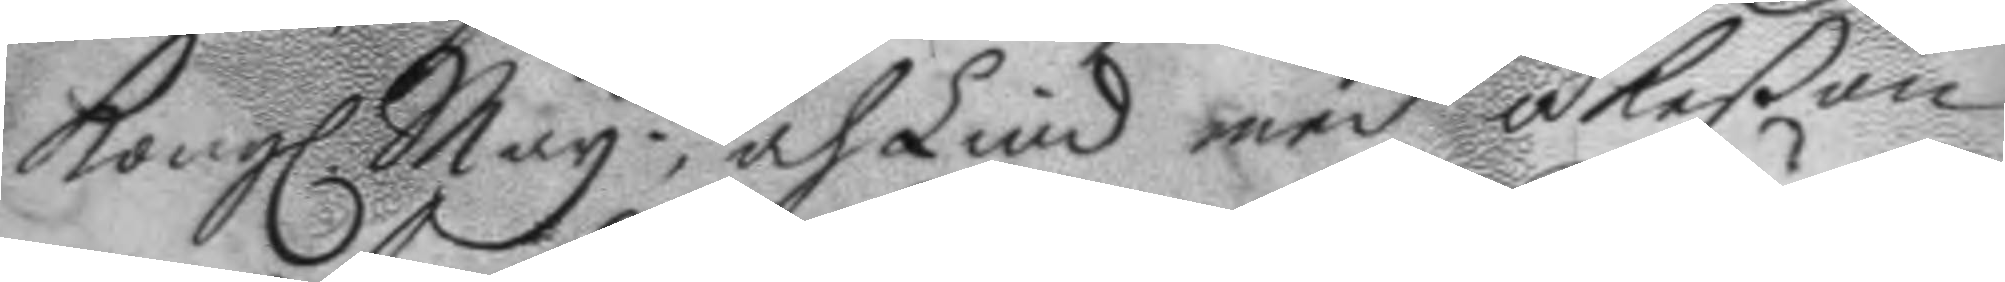Kongl. May.tt och Lind med åkeßon
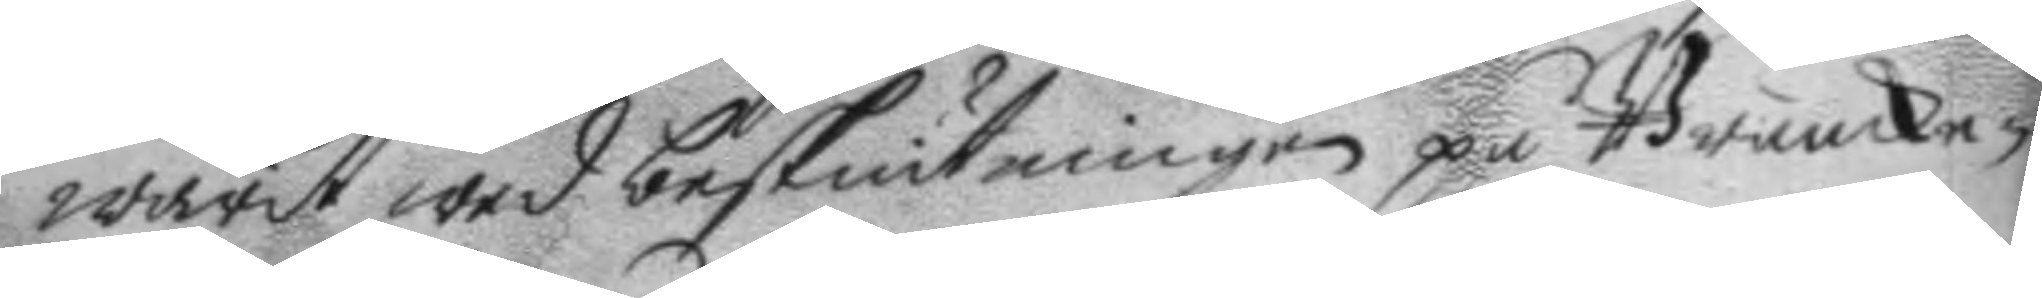warit wed beskiutningen på Brunke¬
